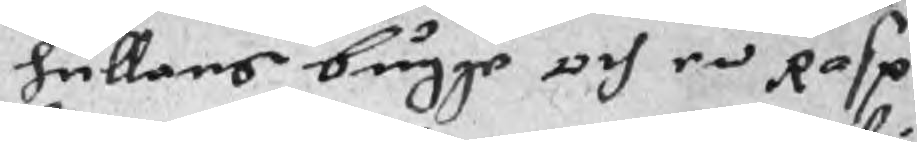hullans bugge och en Rasp,
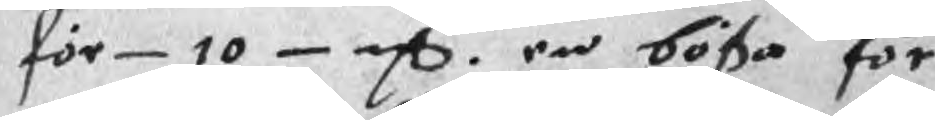för 10 mC. en bößa för
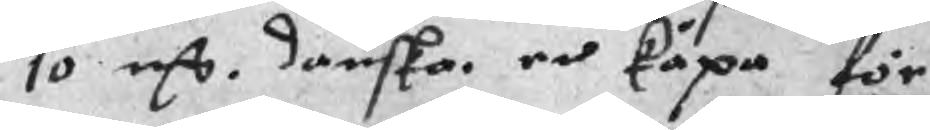10 mC. danska. en kåpa för
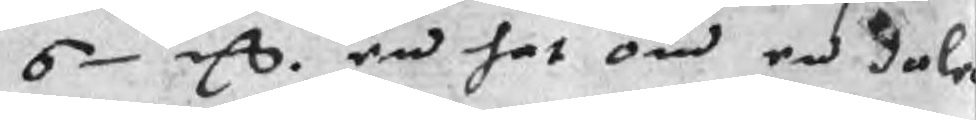6 mC. en hat om en daler
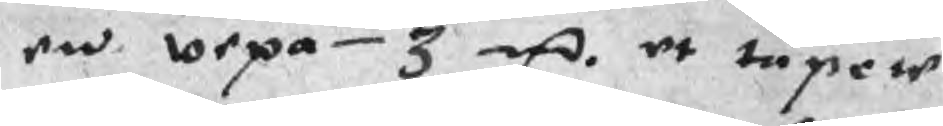en wepa 3 mC. et tupete
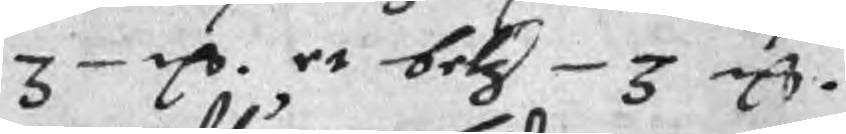3 mC. et betz 3 mC.
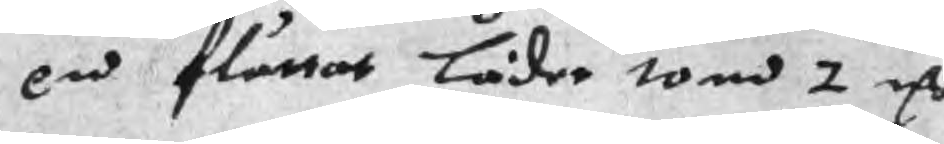en fluttat läder tom 2 mC
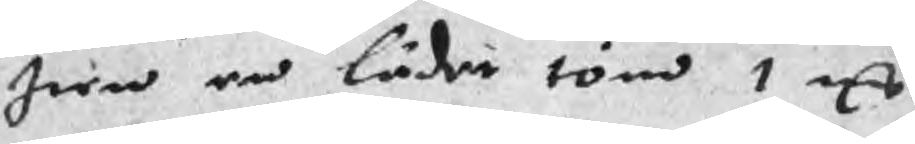Item en läder töm 1 mC
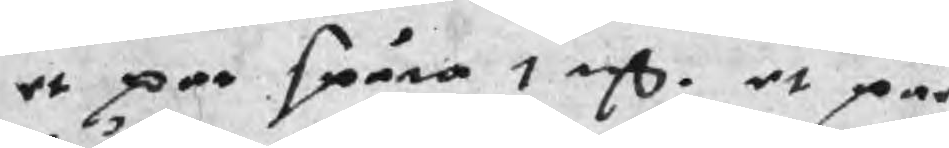et par spåra 1 mC. et par
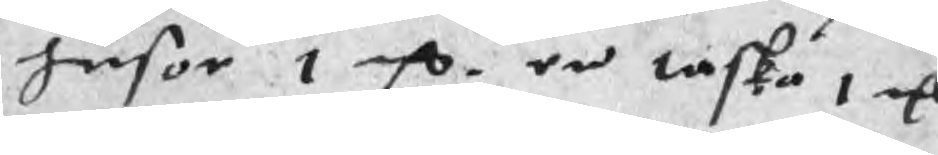husor 1 mC. en taska 1 mC
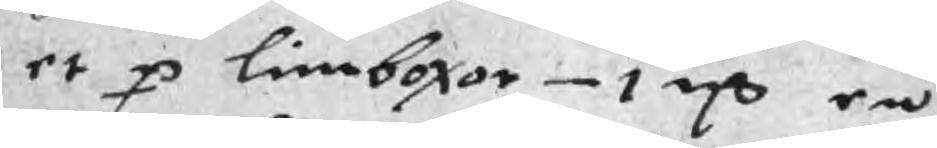et p limboxor 1 mC en
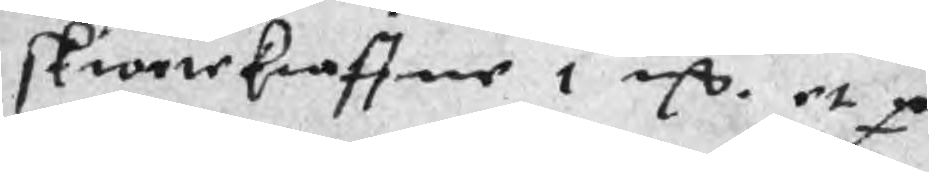skiortekraffne 1 mC. et p
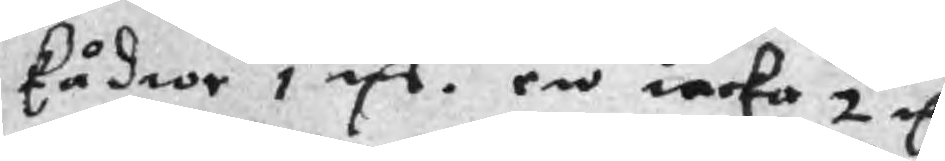kådior 1 mC. en iacka 2 mC
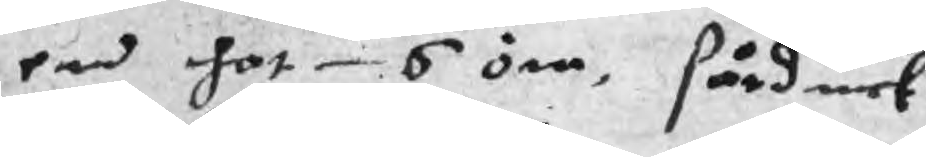en hot 6 öre, sårduck
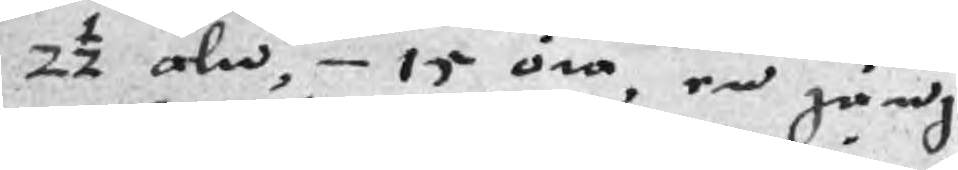2½ aln, 15 öre, en gärng
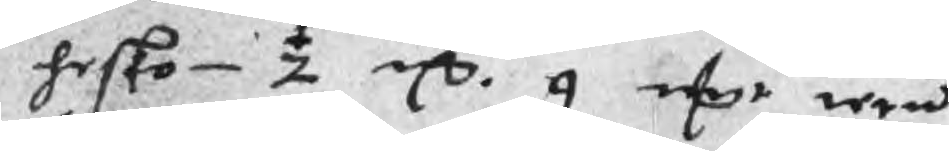hesko ½ mC. 9 mCr iern
